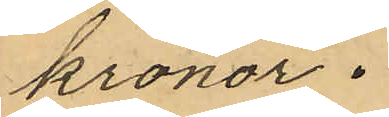kronor.
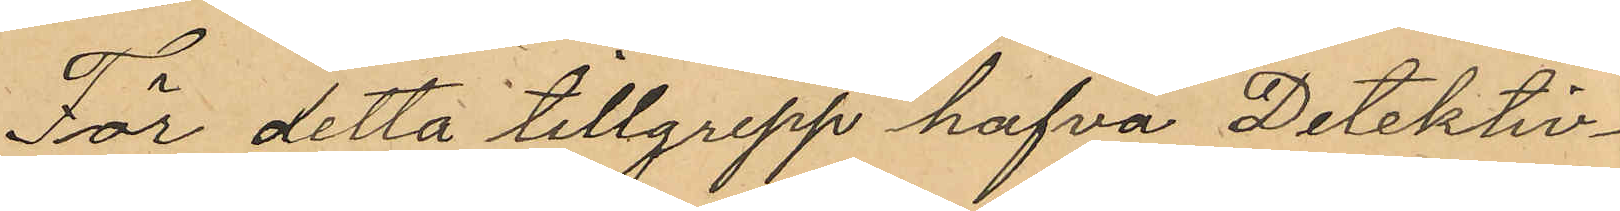För detta tillgrepp hafva Detektiv¬
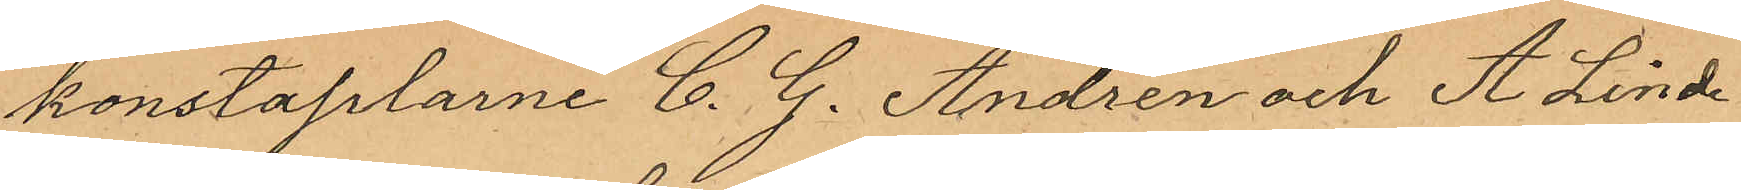konstaplarne C. G. Andren och A. Lind¬
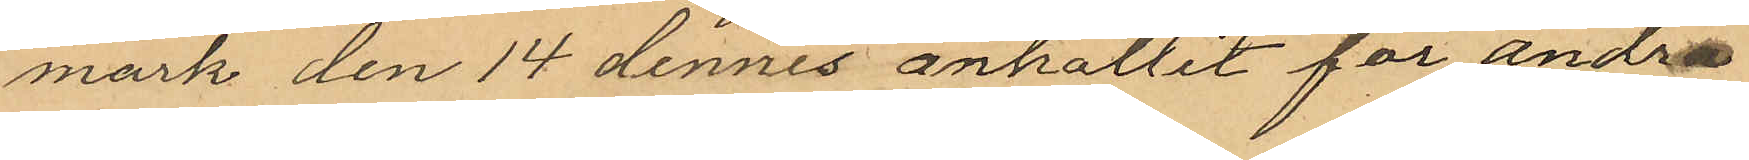mark den 14 dennes anhållit för andra
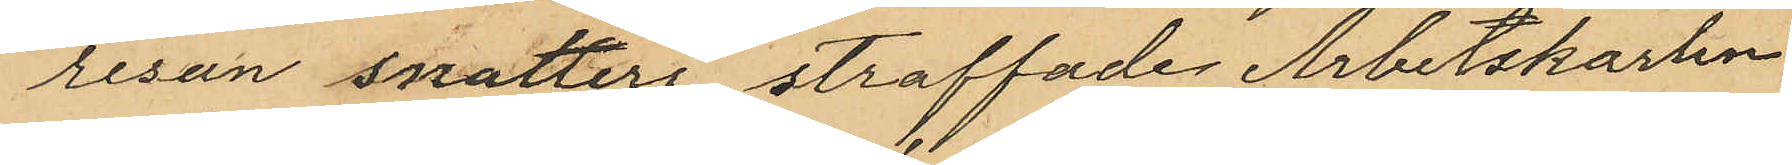resan snatteri straffade Arbetskarlen
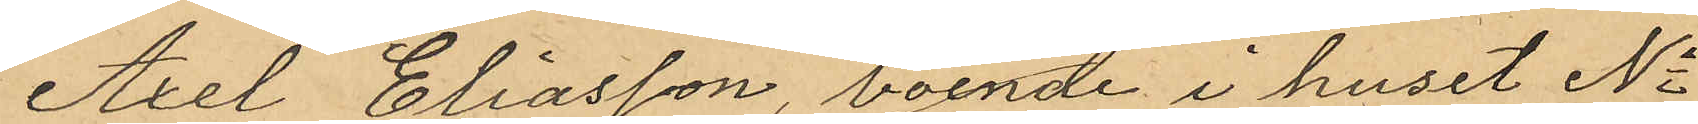Axel Eliasson, boende i huset No
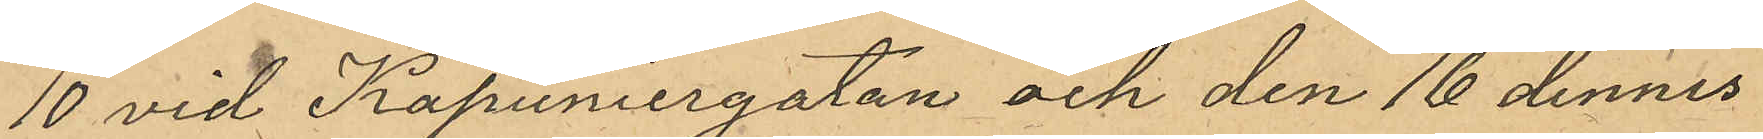10 vid Kapuniergatan och den 16 dennes
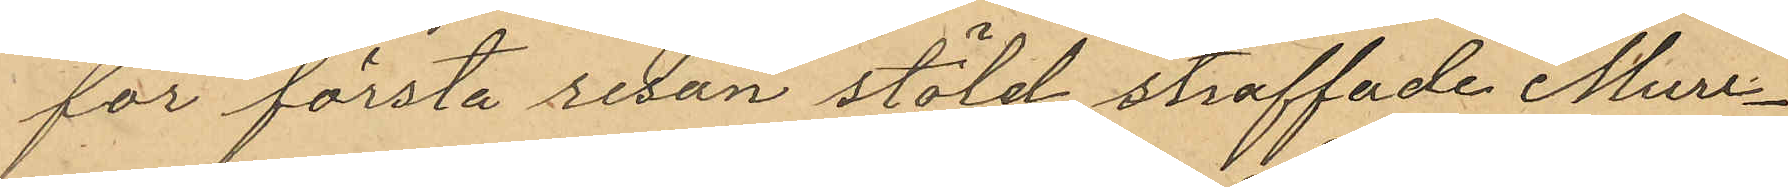för första resan stöld straffade Mure¬
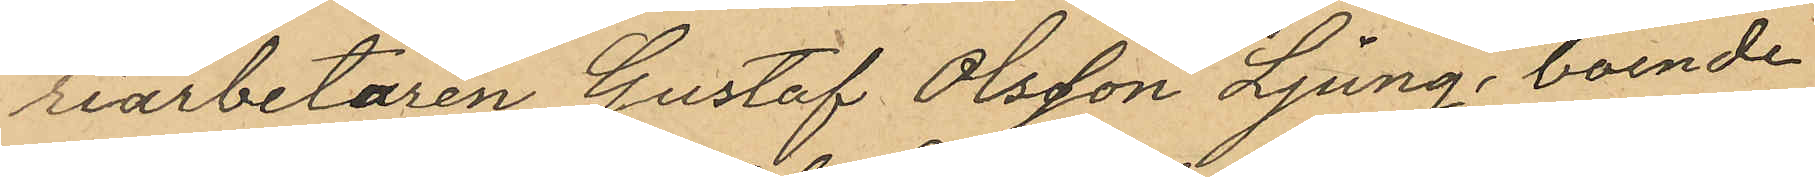riarbetaren Gustaf Olsson Ljung, boende
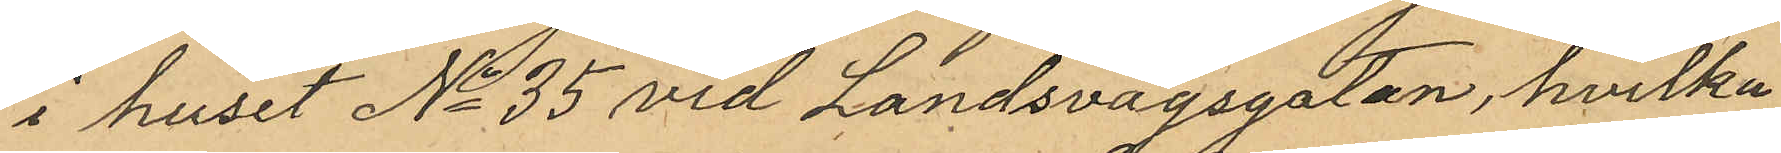i huset No 35 vid Landsvägsgatan, hvilka
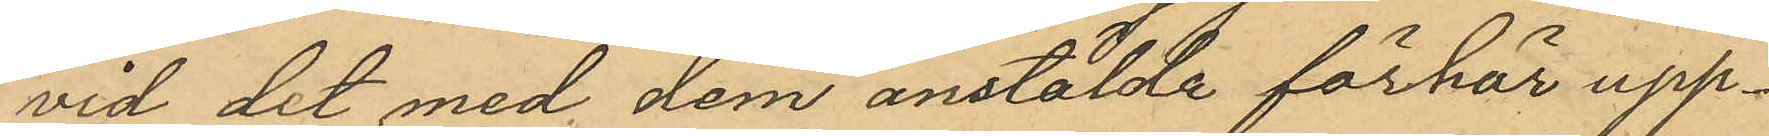vid det med dem anstälde förhör upp¬
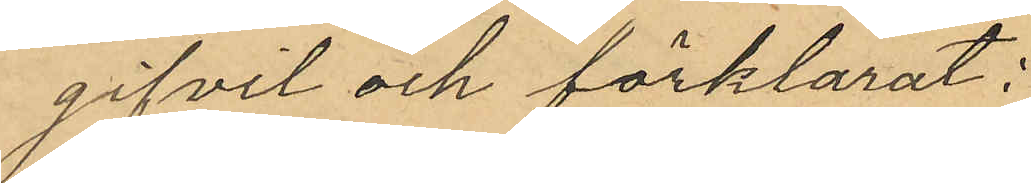gifvit och förklarat:
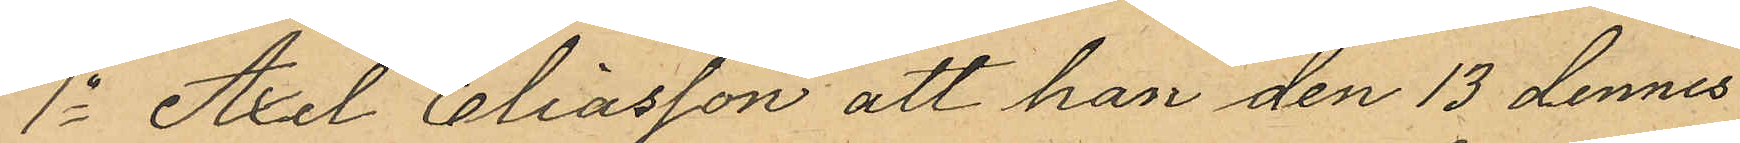1o Axel Eliasson att han den 13 dennes
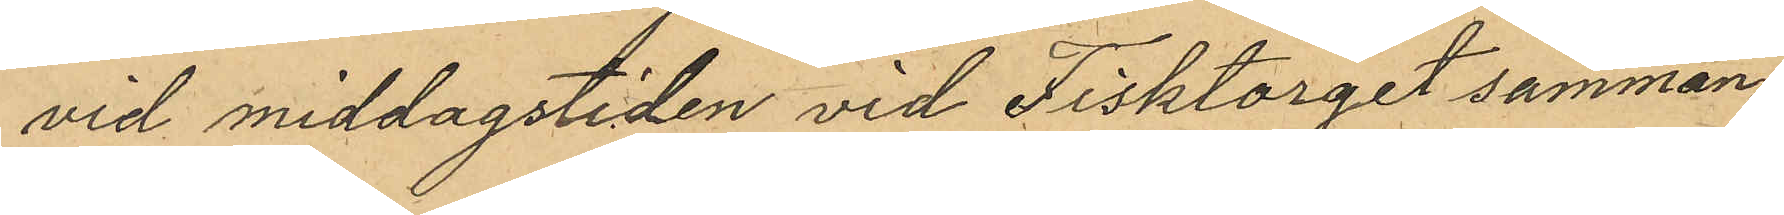vid middagstiden vid Fisktorget samman¬
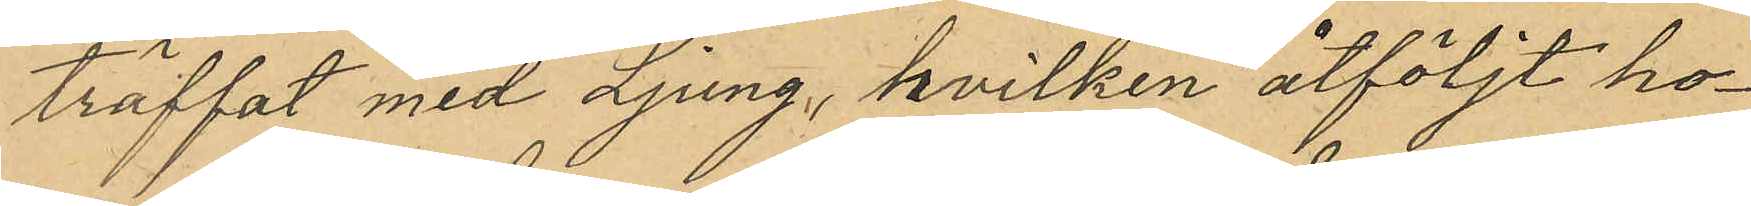träffat med Ljung, hvilken åtföljt ho¬
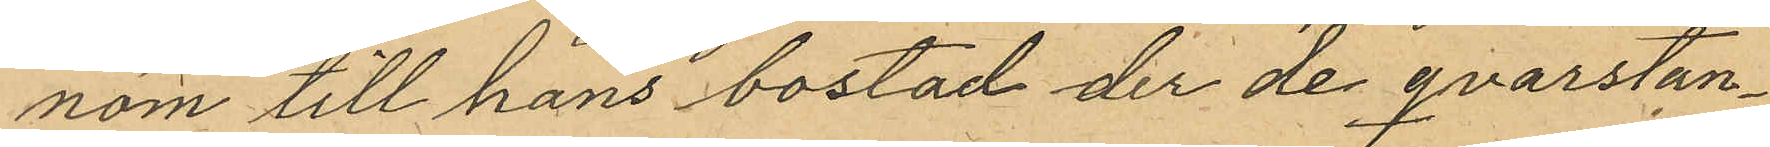nom till hans bostad der de qvarstan¬
